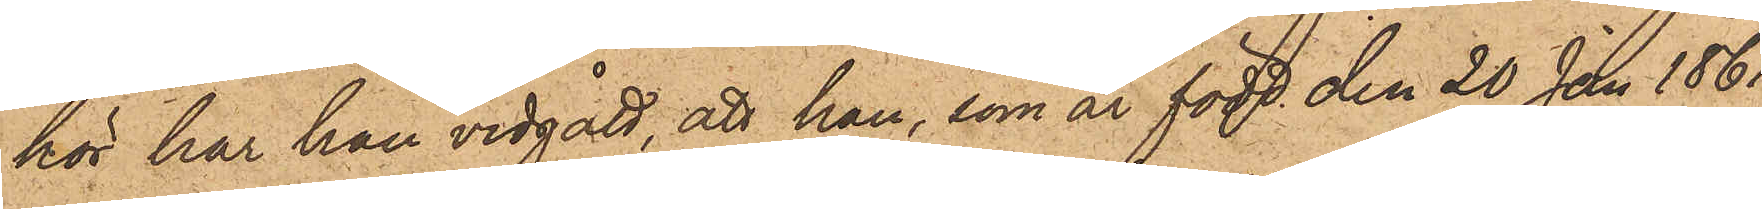hör har han vidgått, att han, som är född den 20 Juni 1861
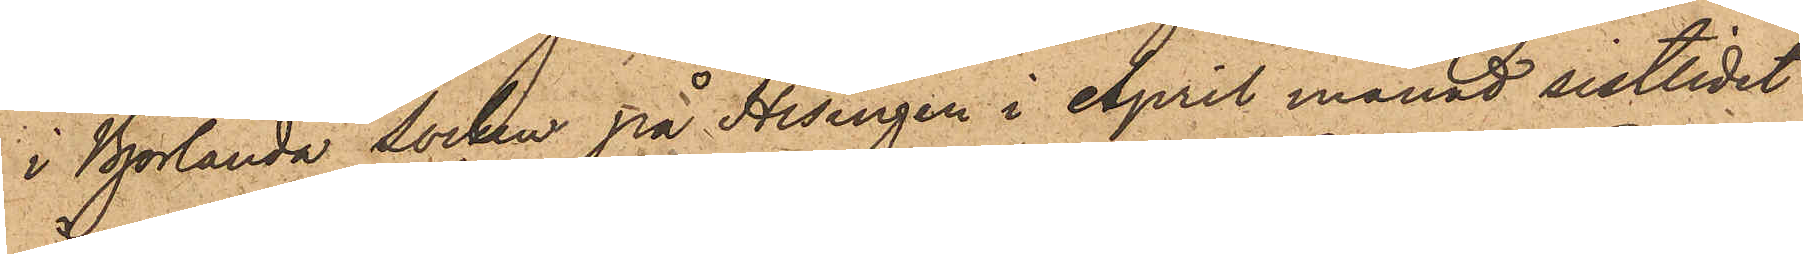i Björlanda socken på Hisingen i April månad sistlidne
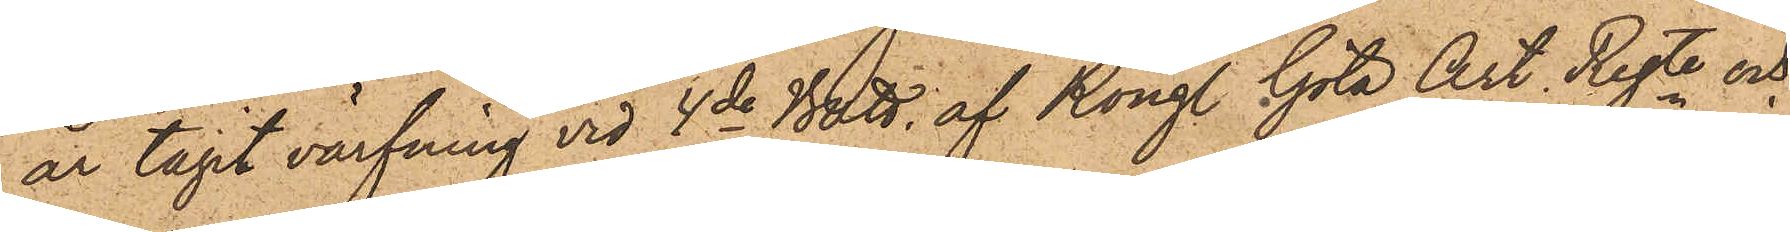år tagit värfning vid 4de Batt. af Kongl. Göta Art. Regte och
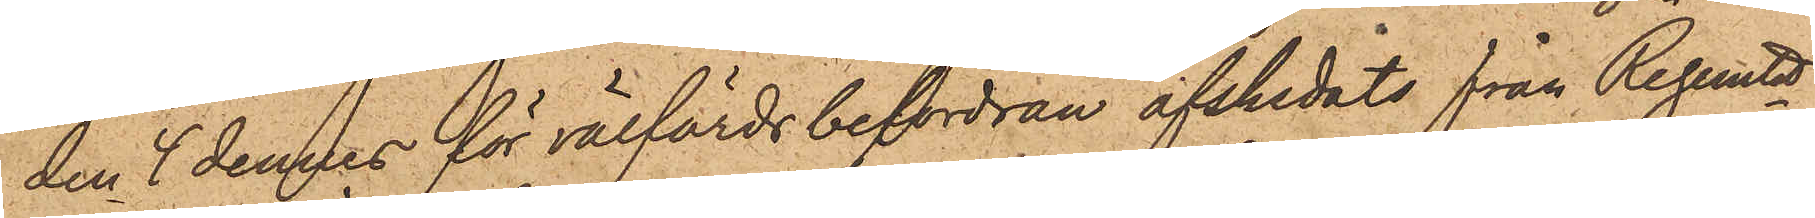den 4 dennes för välfärds befordran afskedats från Regemtet;
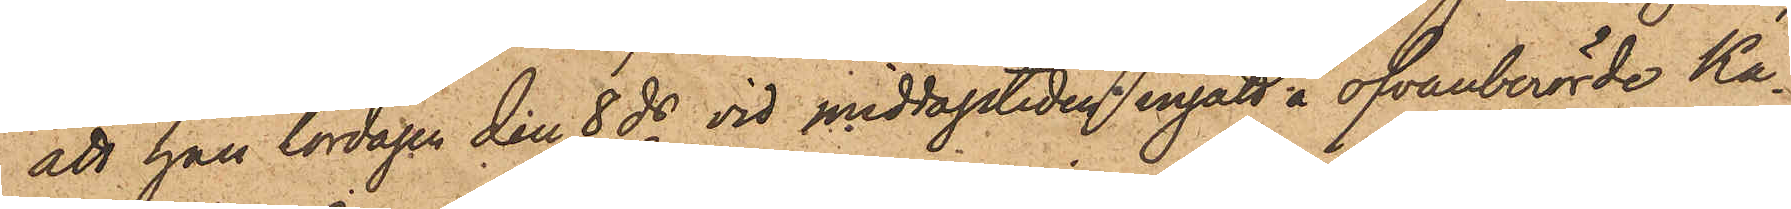att han lördagen den 8 ds vid middagstiden ingått å ofvanberörde Ka¬
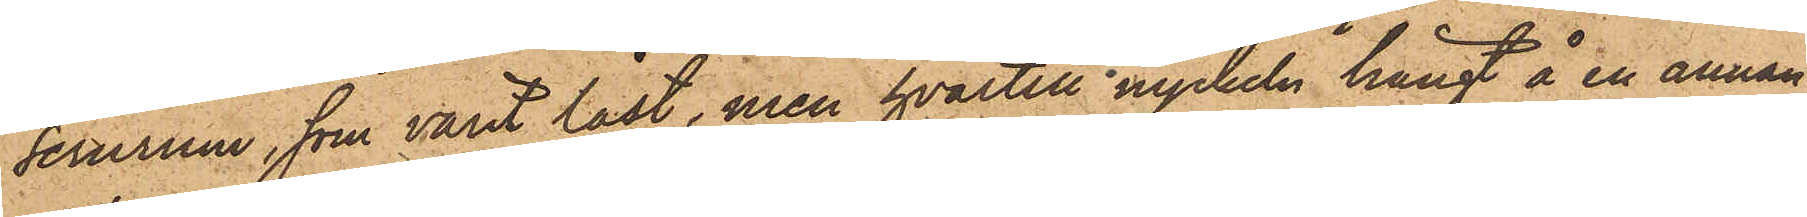sernrum, som varit låst, men hvartill nyckeln hängt å en annan
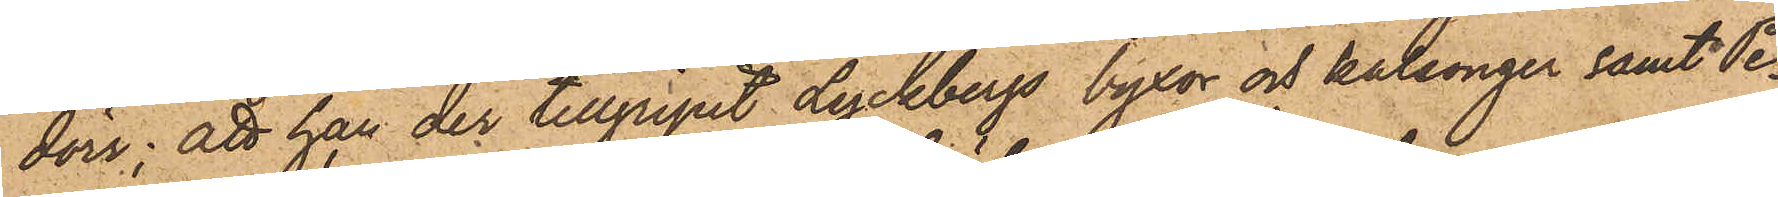dörr; att han der tillgripit Lyckbergs byxor och kalsonger samt Pe¬
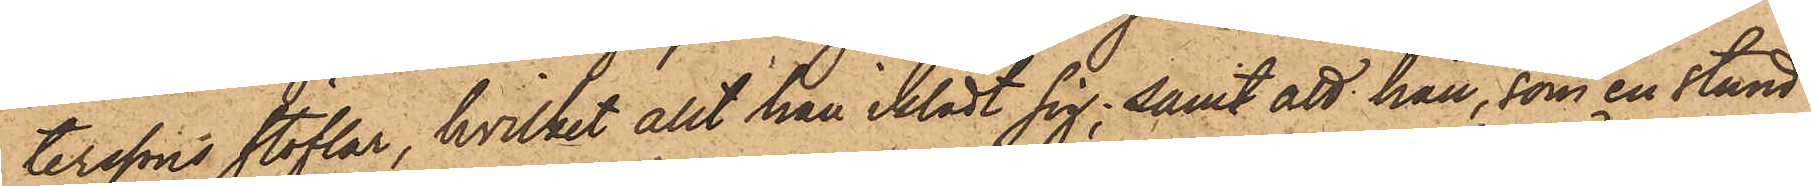terssons stöflar, hvilket allt han iklädt sig; samt att han, som en stund
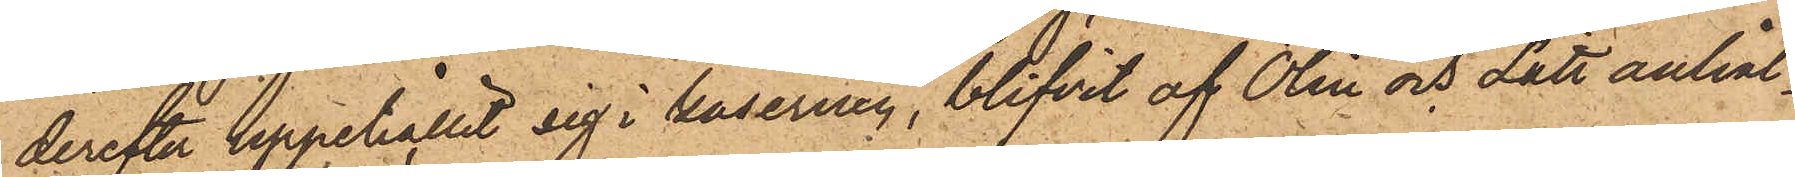derefter uppehållit sig i kasenen, blifvit af Olin och Lätt anhål¬
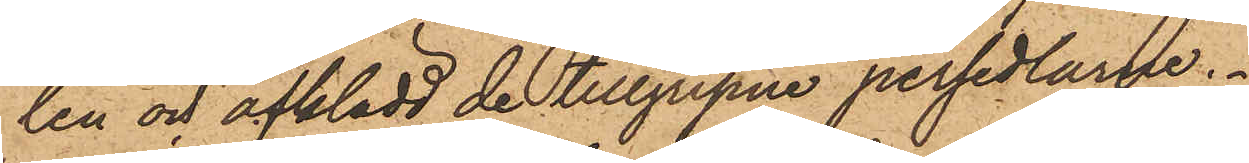len och afklädd de tillgripne persedlarne.
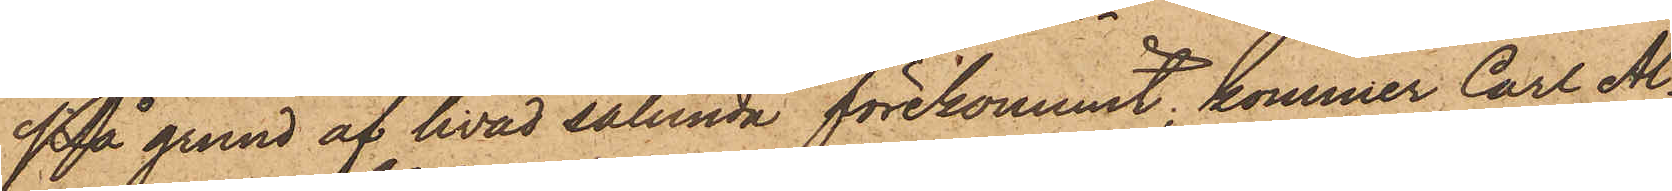På grund af hvad sålunda förekommit, kommer Carl Al¬
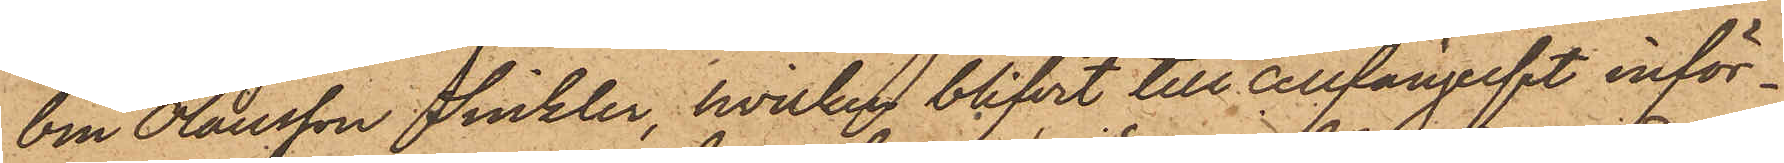bin Olausson Sinkler, hvilken blifvit till cellfängelset inför¬
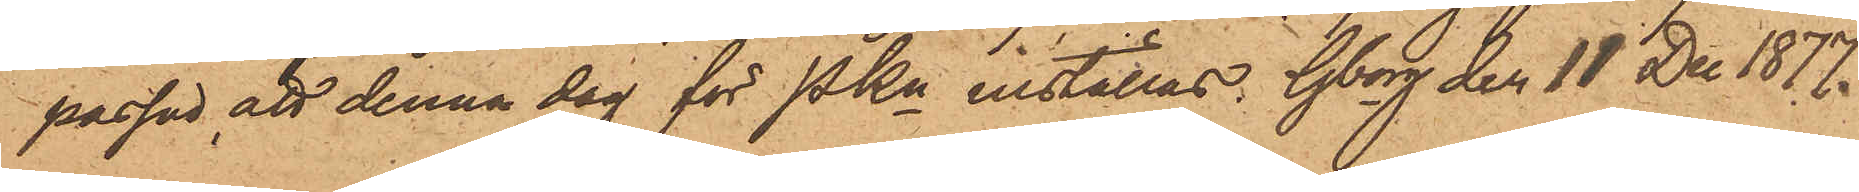passad, att denna dag för PKn inställas. Gborg den 18 Dec 1877.
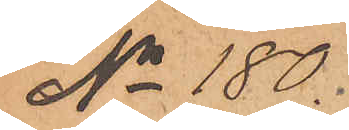No 180.
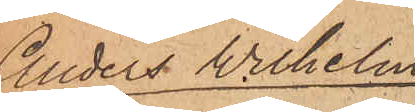Anders Wilhelm
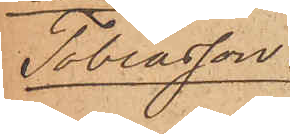Tobiasson.
